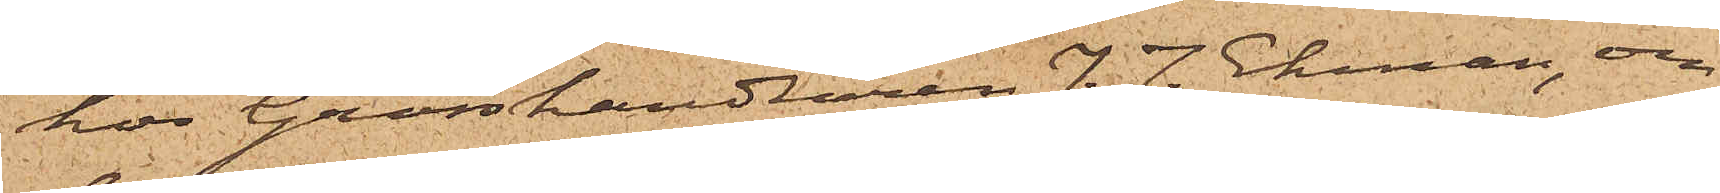hos Grosshandlaren J. J. Ekman, om
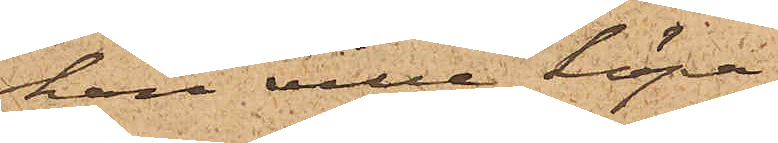han ville köpa
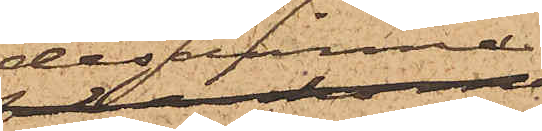desamme;
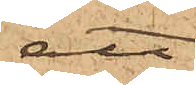att
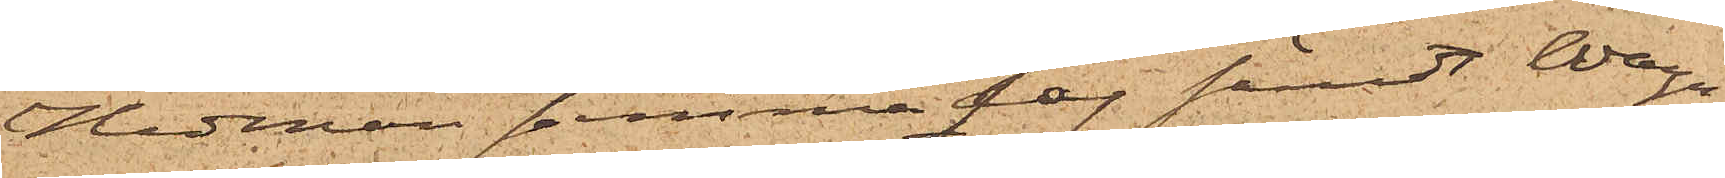Hedman samma dag sändt Wagn¬
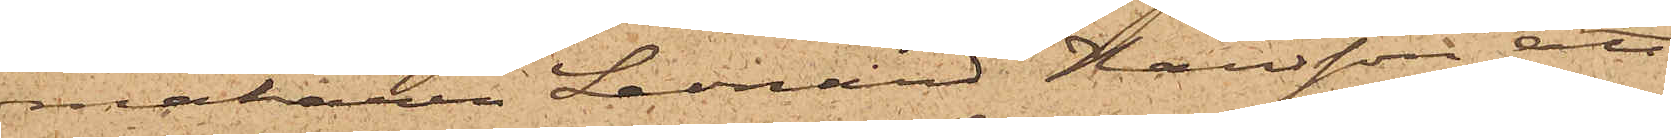makaren Leonard Hansson att
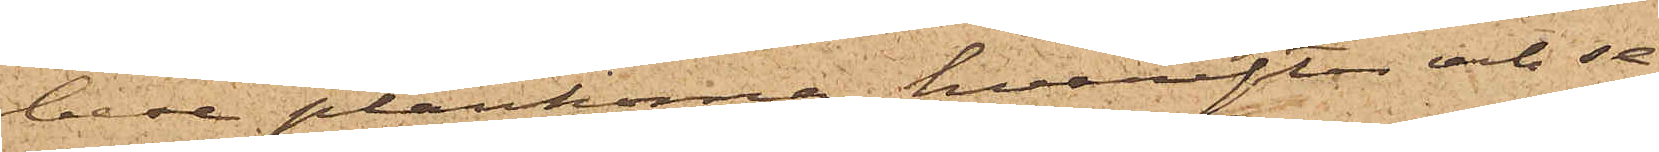bese plankorna, hvarefter och se¬
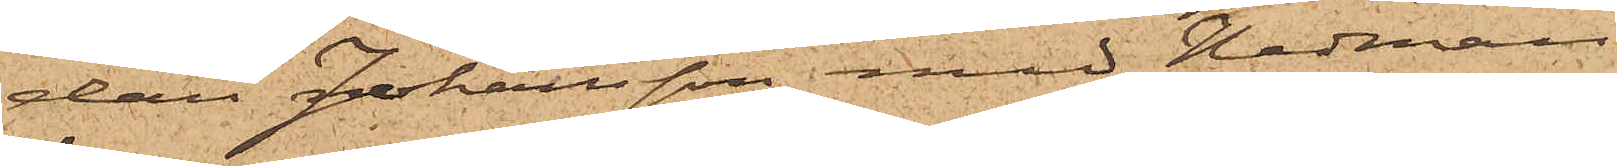dan Johansson med Hedman
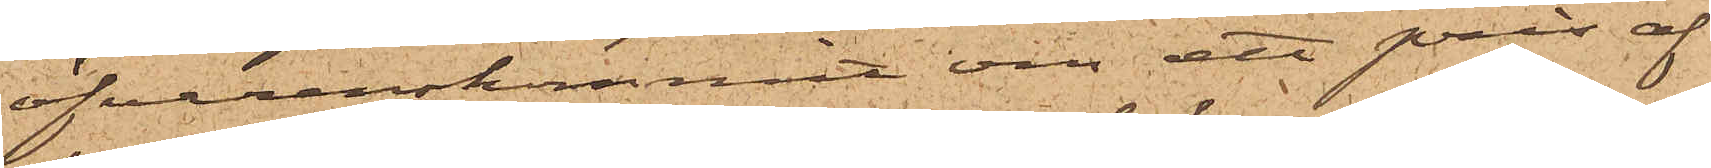öfverenskommit om ett pris af
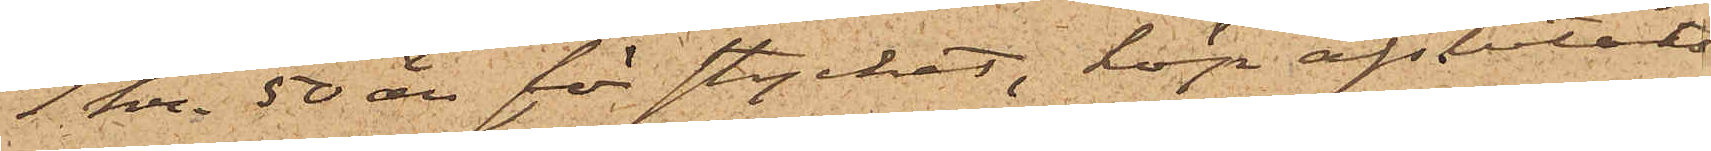1. kr. 50 öre för stycket, köp afslutats
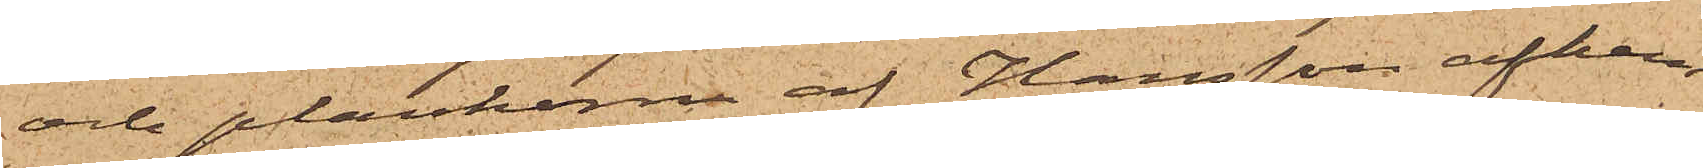och plankorna af Hansson afhem¬
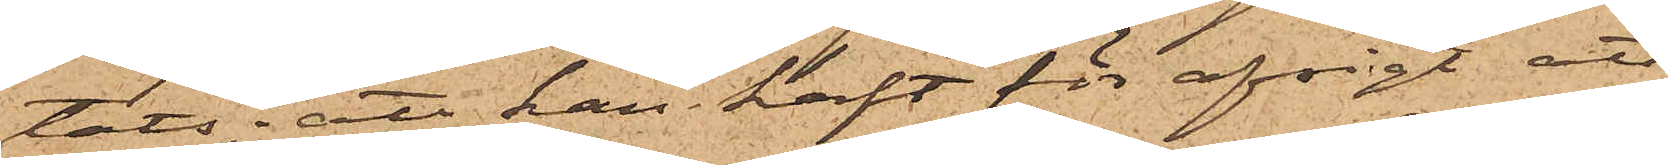tats; att han haft för afsigt att
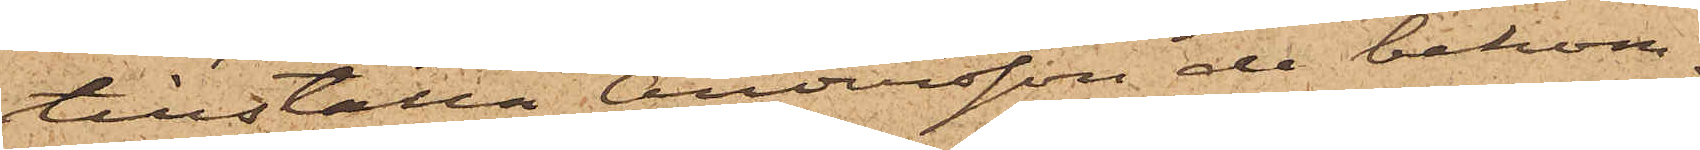tillställa Andersson de bekom¬
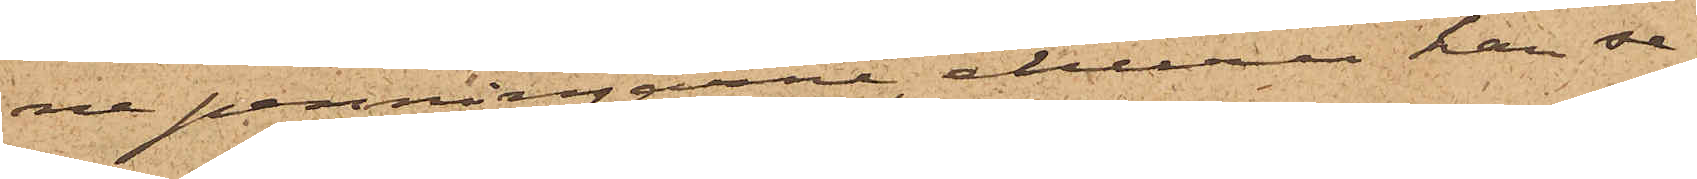ne penningarne, ehuru han se¬
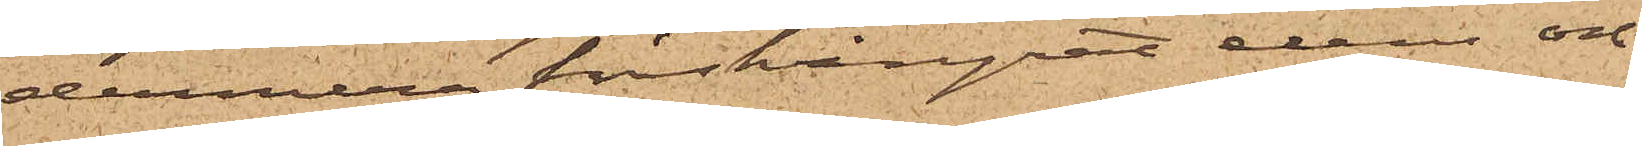dermera förskingrat dem och
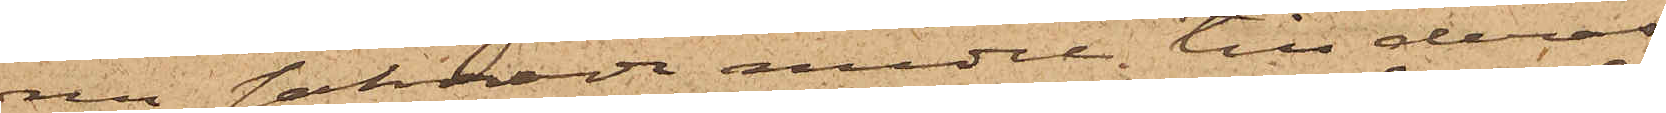nu saknade medel till deras
